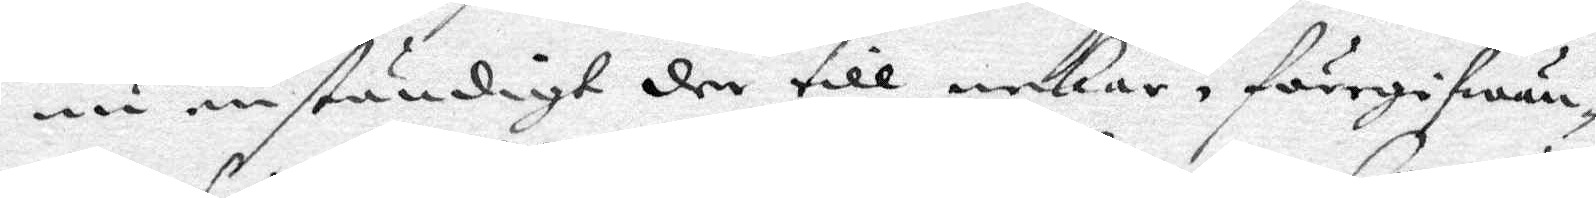nu enständigt der till nekar, föregifwan¬
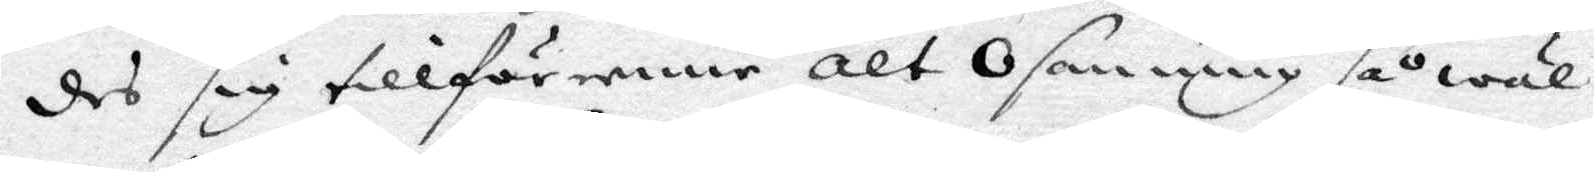des sig tillförenne alt osanning så wäl
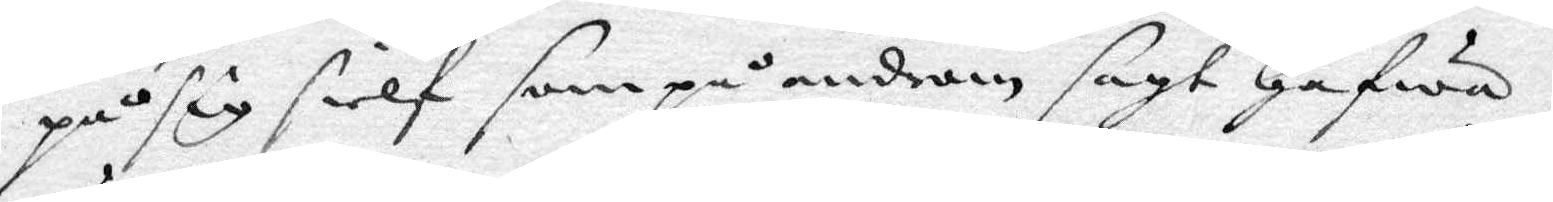på sig sielf som på androm sagt hafwa,
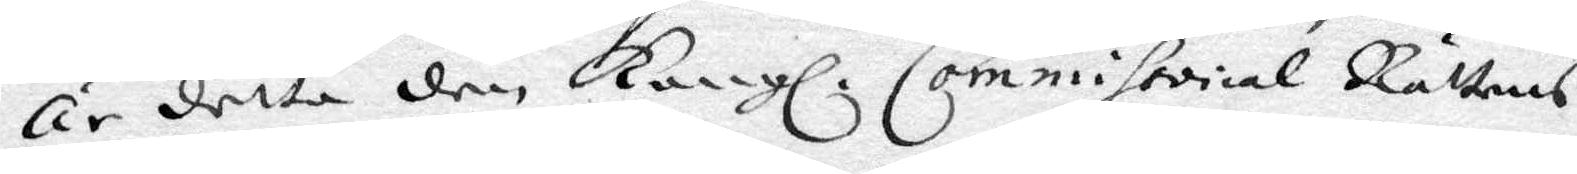är detta den Kongl. Commissorial Rättens 
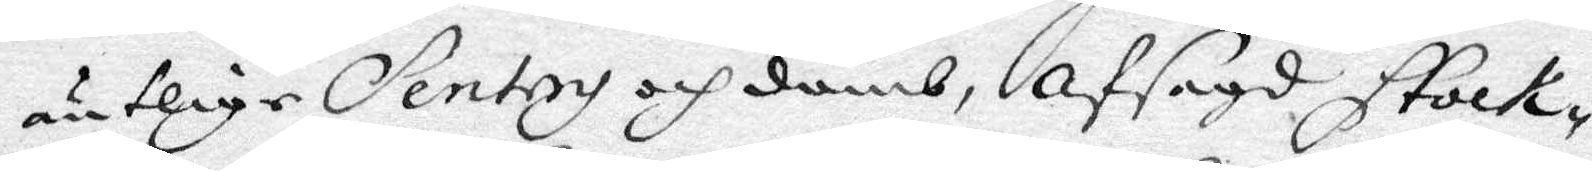äntlige Sentery och domb, afsagd Stock¬
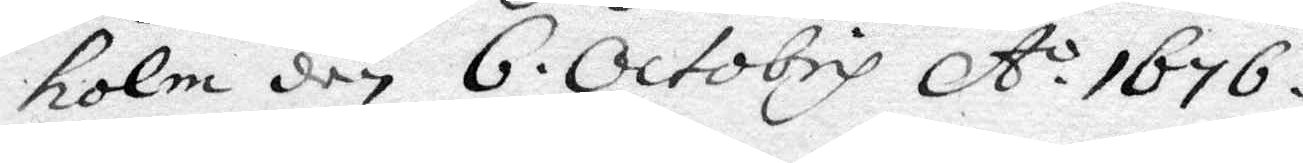holm den 6. Octobris A.o 1676. 
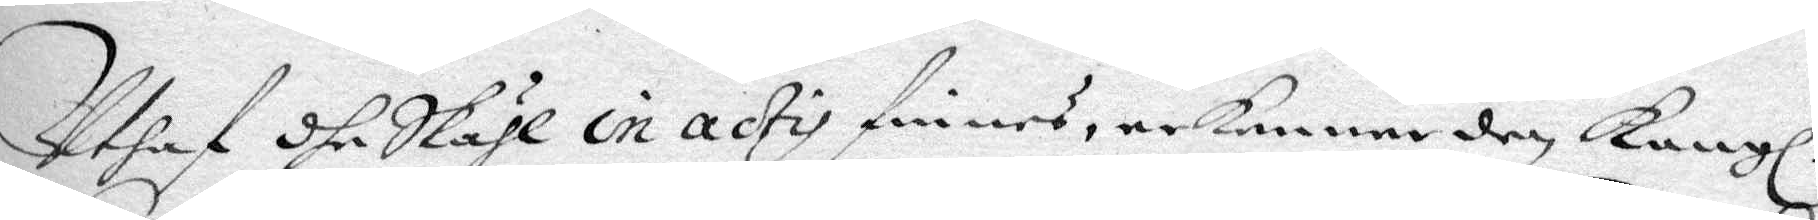Uthaf dhe Skähl in actis finnes, erkenner den Kongl. 
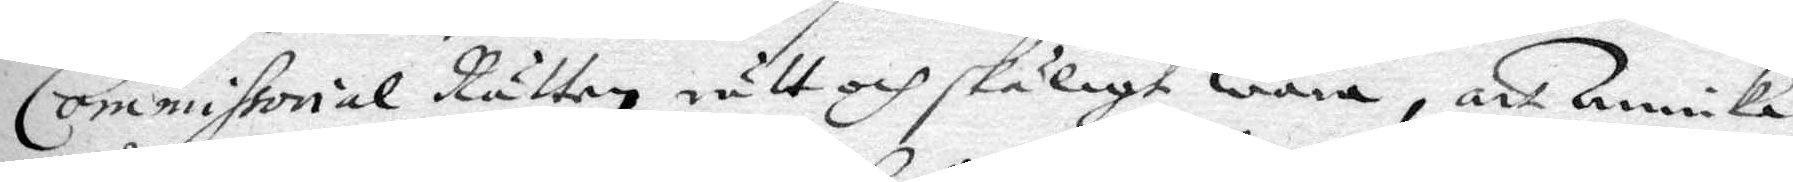Commissorial Rätten rätt och skäligt wara, att Annika
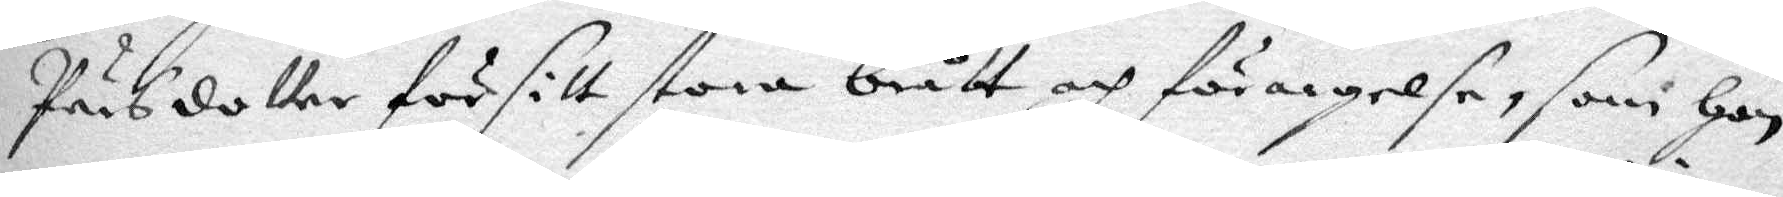Pärsdotter för sitt stora brått och förargelse, som hon
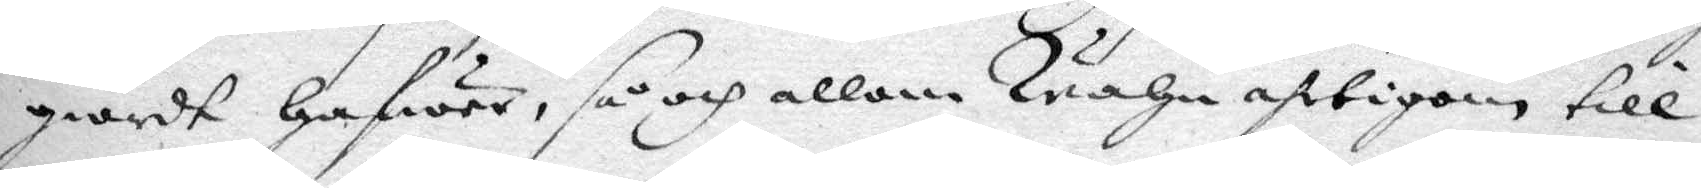giordt Hafwer, så och allom Wahn ahrtigen till
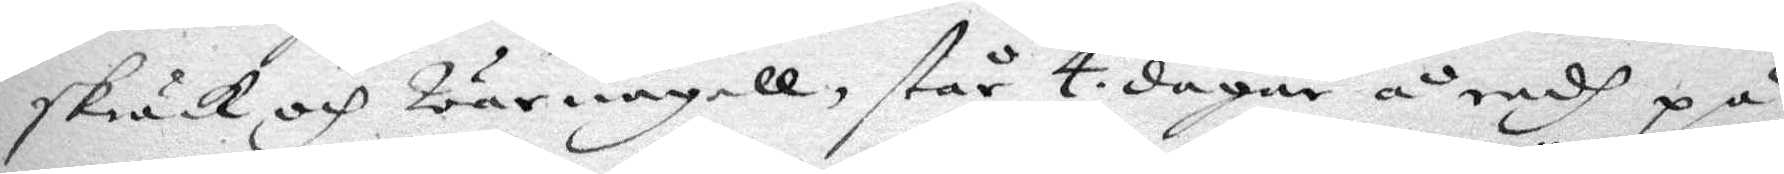skräck och warnagell, står 4 dagar å radh på
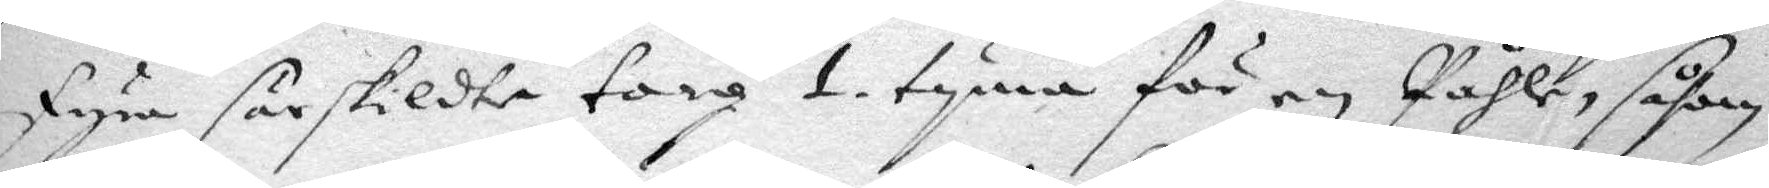fyra särskildte torg 1 tyma för en Påhle, såsom
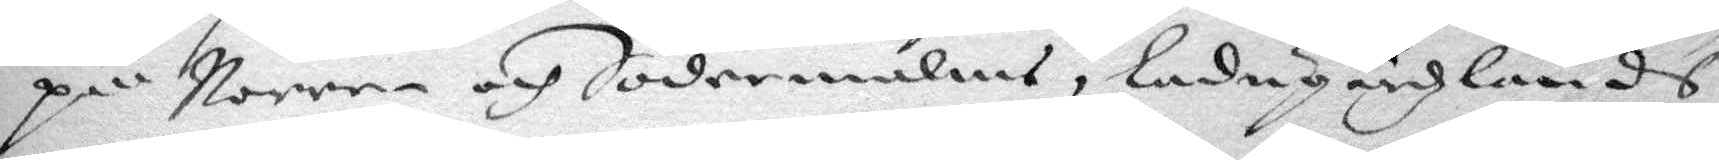på Norre- och Södermalm, Ladugårdzlands
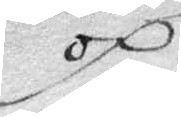och
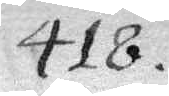418.
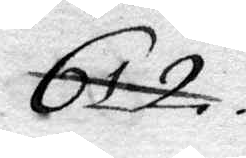612.
